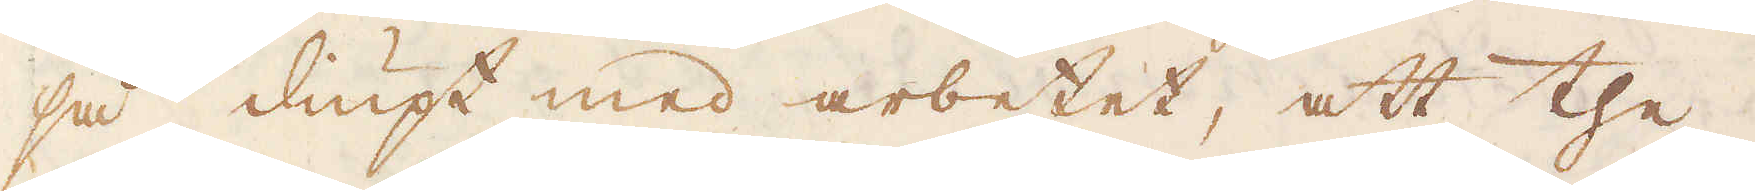så diupt med arbetet, att the
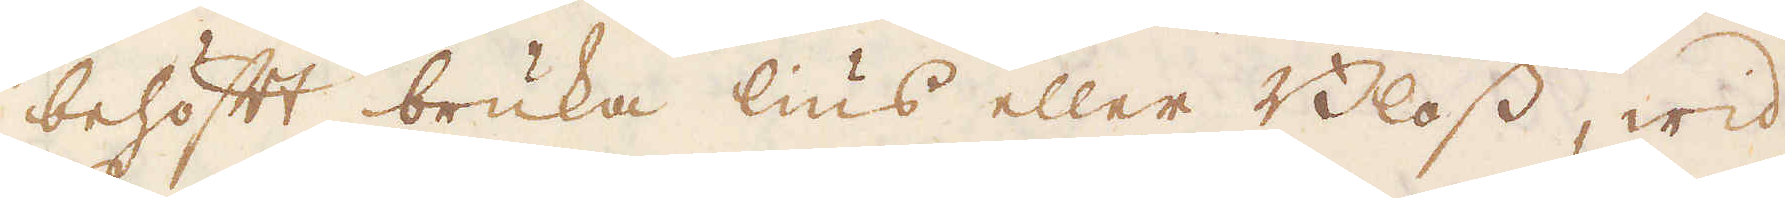behöft bruka lius eller Bloss, wid
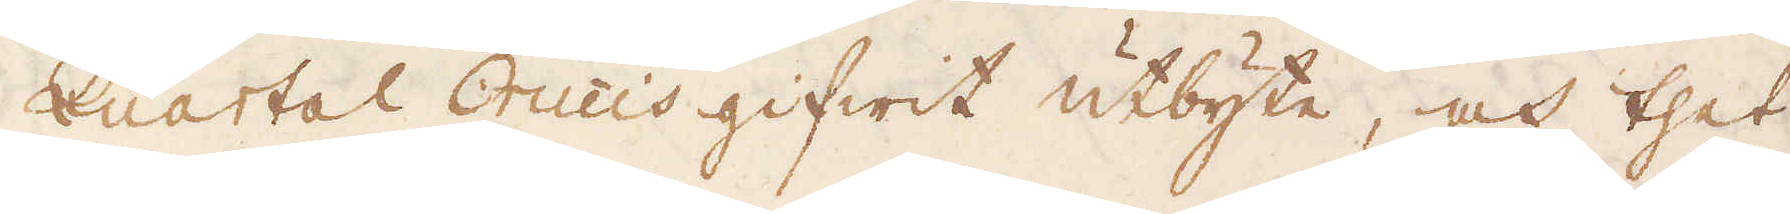Quartal Orucis gifwit utbyte, och thet
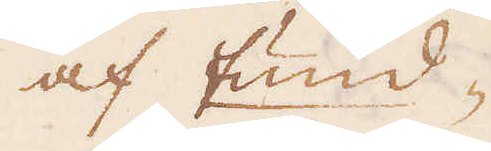af Fund-
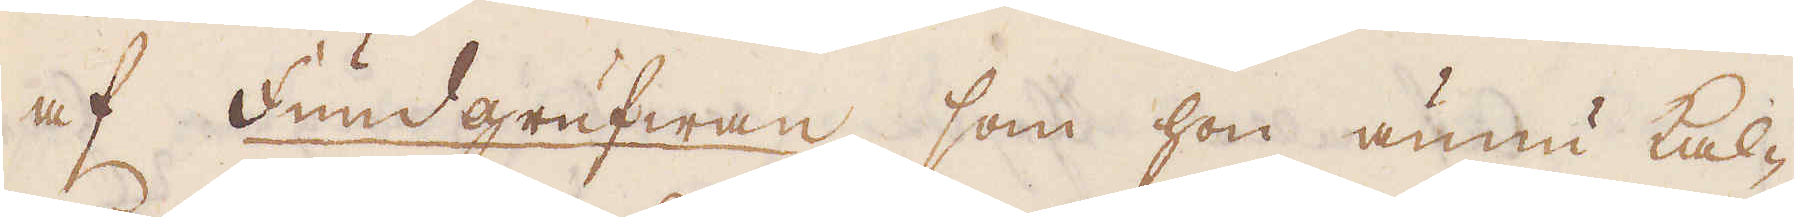af Fundgrufwan, som hon ännu kal-
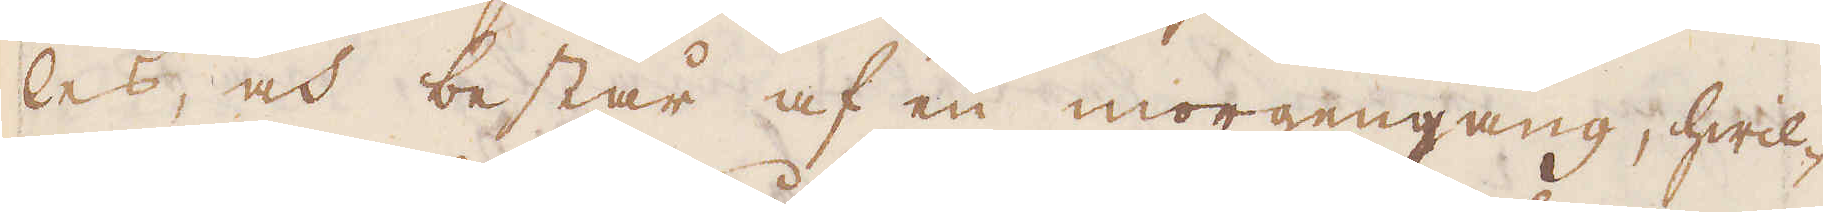las, och består af en morgengang, hwil-
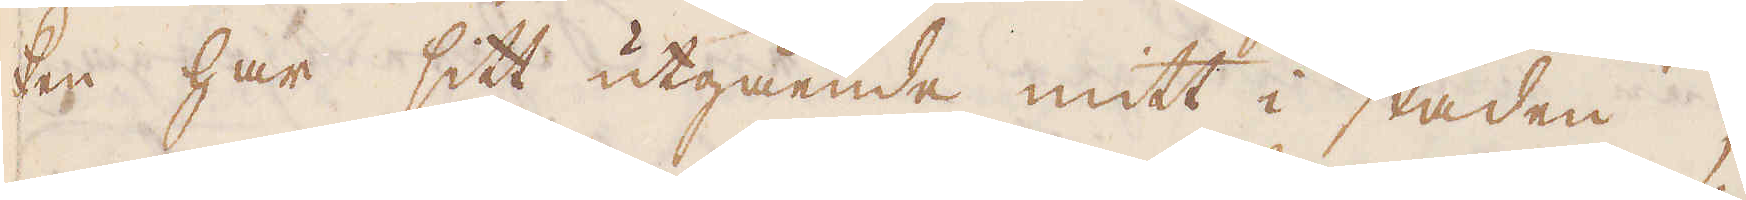ken har sitt utgående mitt i staden;
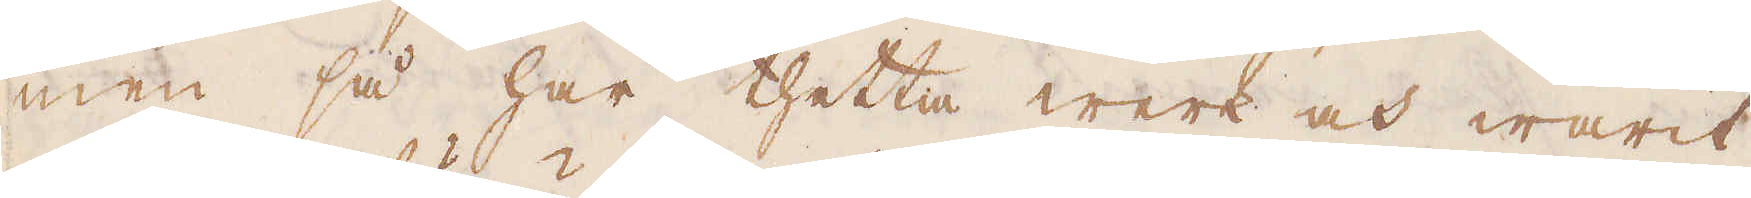men så har thetta werk och warit
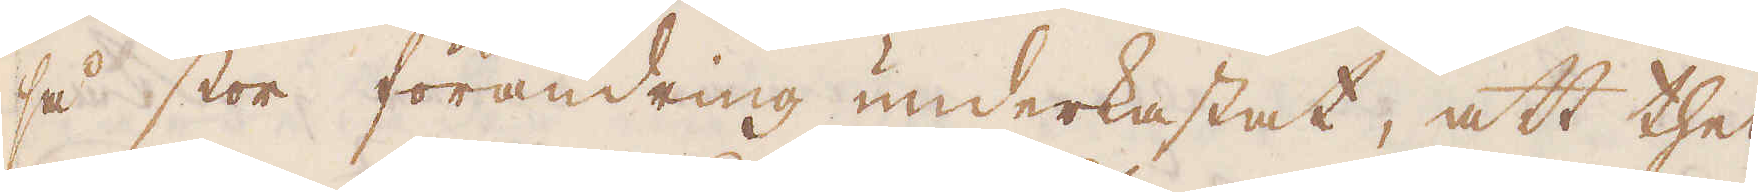så stor förändring underkastat, att thet,
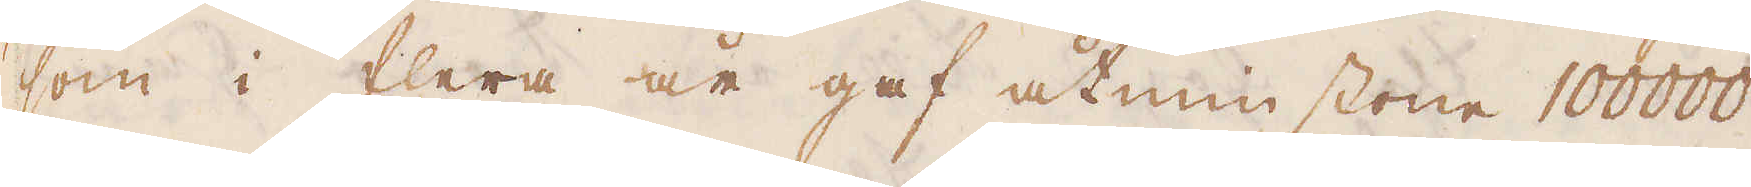som i flera år gaf åtminstone 100000
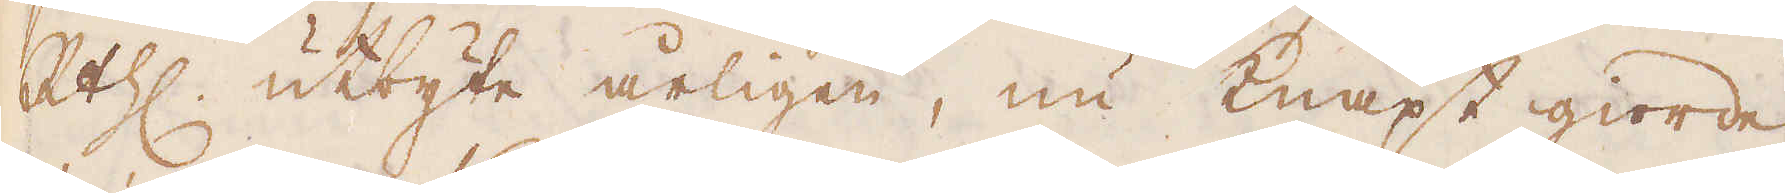R:thl uttyte årligen, nu knapt giorde
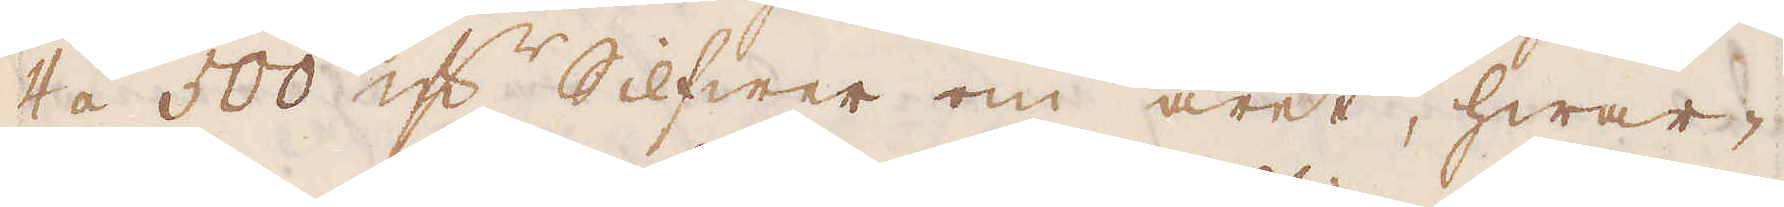4 á 500 qv:r Silfwer om året, hwar-
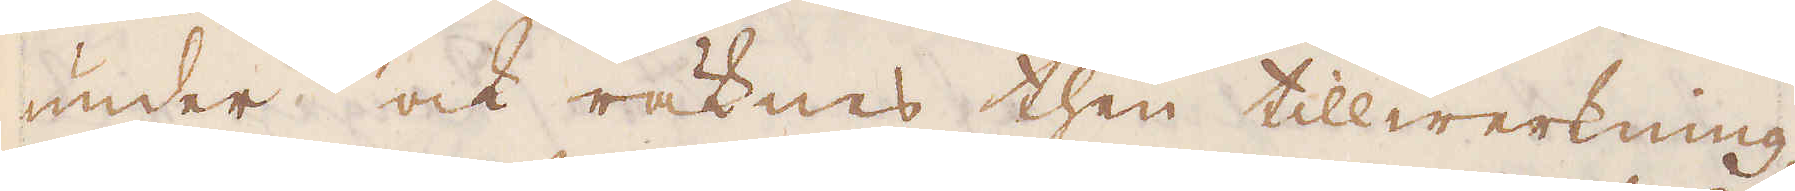under ock räknas then tillwerkning,
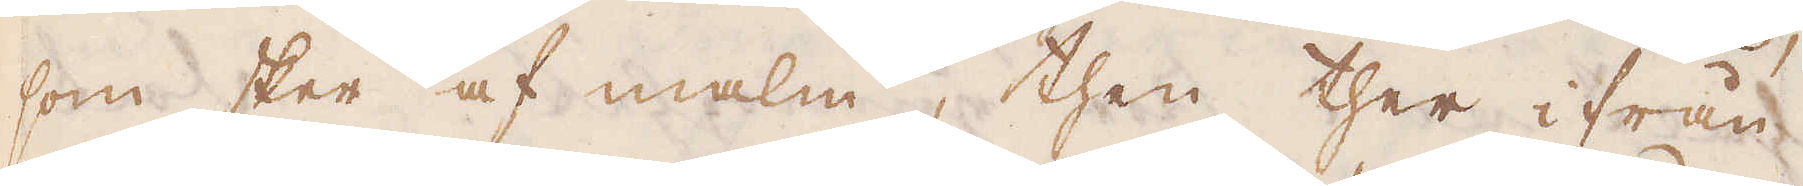som sker af malm, then ther ifrån
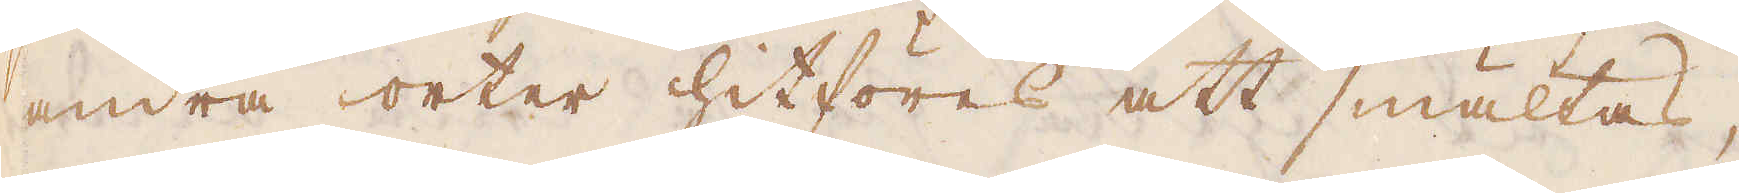andra orter hitföres att smältas,
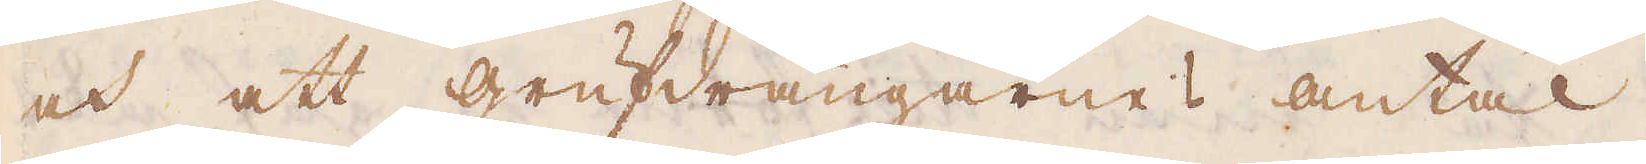och att Grufdrängarnes antal,
